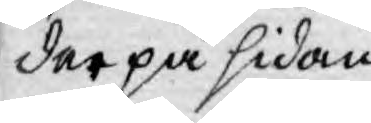der på sidan
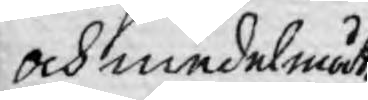och medelmåt¬
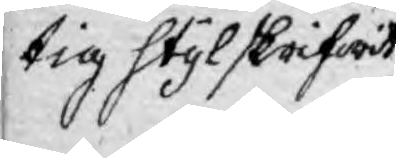tig styl skrifwit
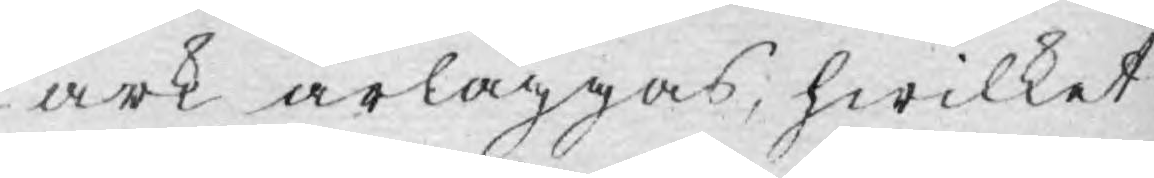ark ärläggas, hwilket
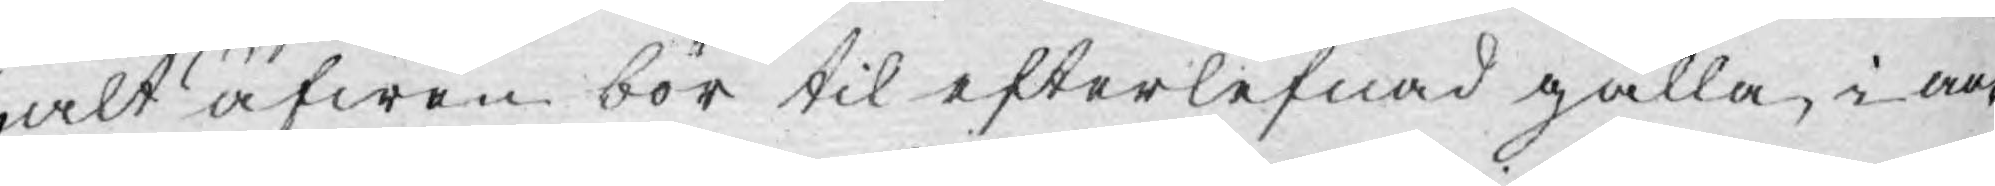alt äfwen bör til efterlefnad gälla, i an¬
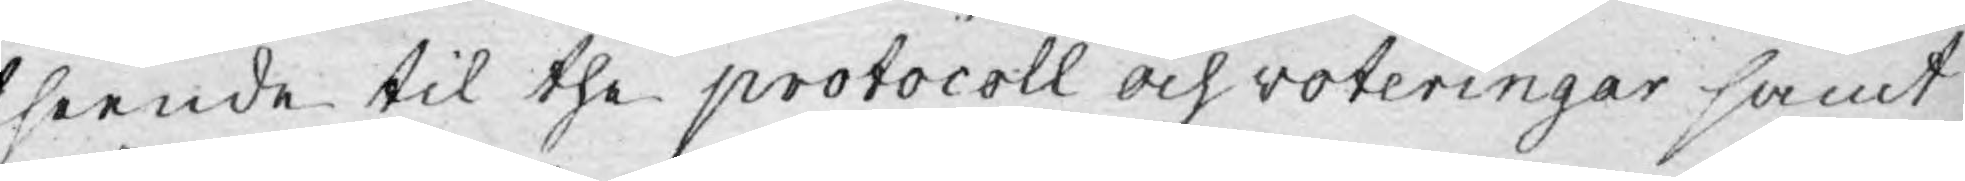seende til the protocoll och voteringar samt
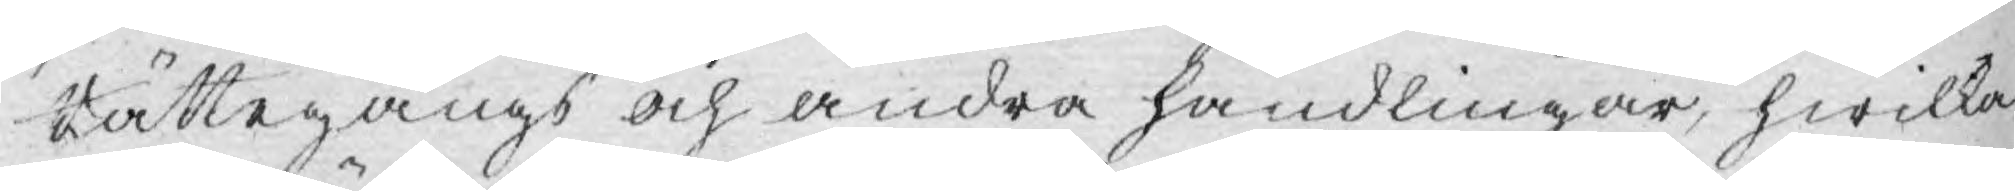Rättegångs och andra handlingar, hwilka
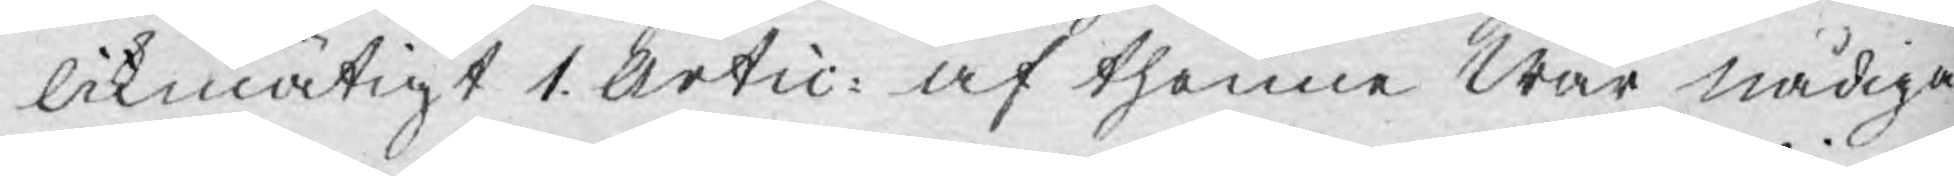likmätigt 1. Artic: af thenne Wår nådiga
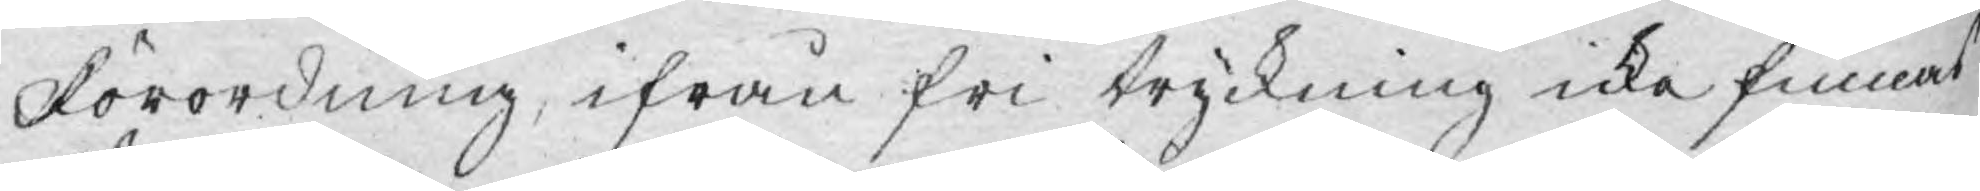Förordning, ifrån fri tryckning icke finnas
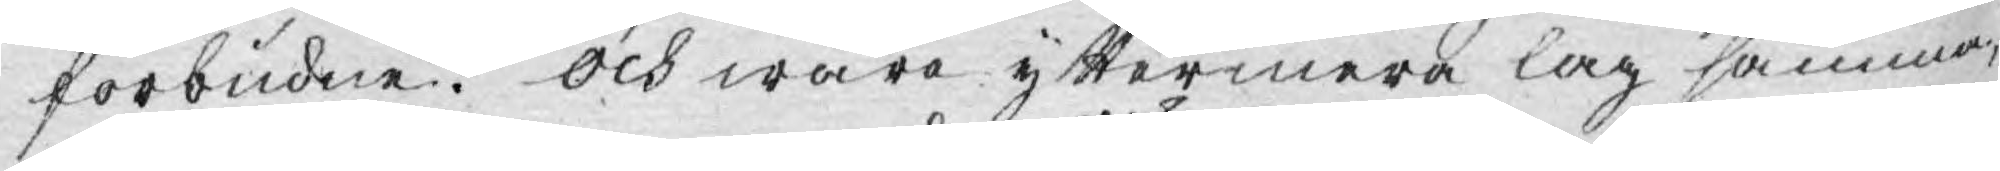förbudne. Och wara yttermera lag samma;
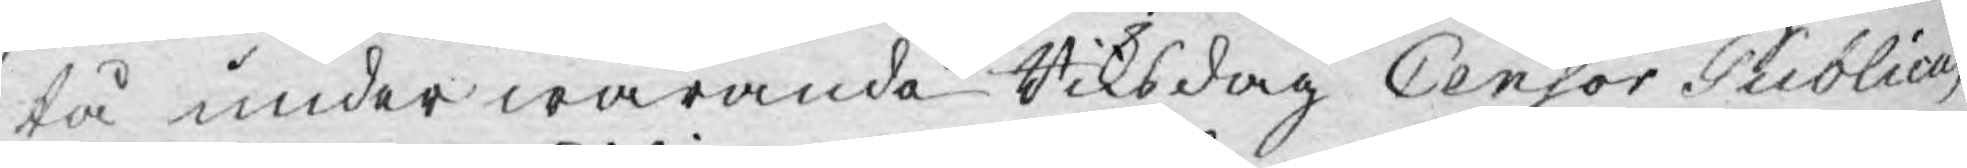tå under warande Riksdag Censor Publicus
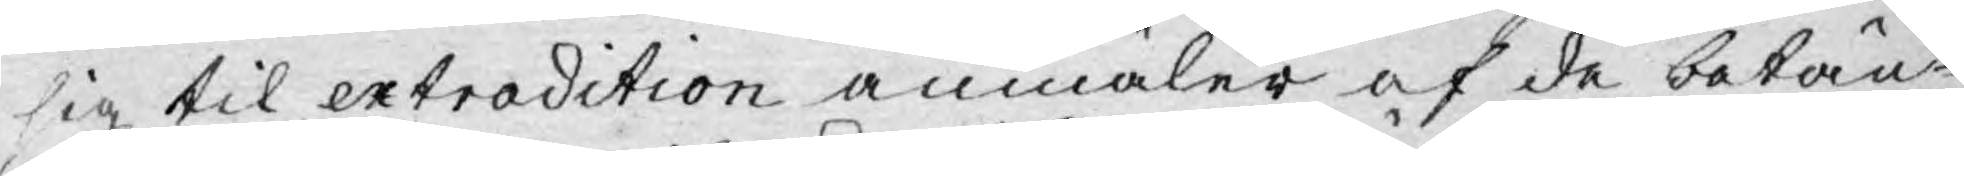sig til extradition anmäler af de betän¬
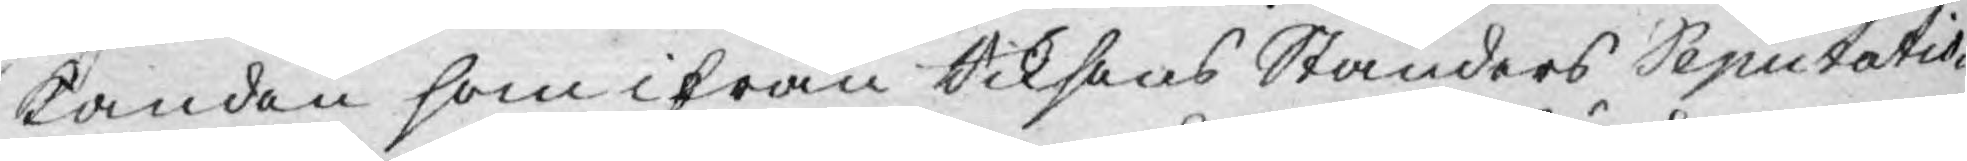kanden som ifrån Riksens Ständers Deputatio¬
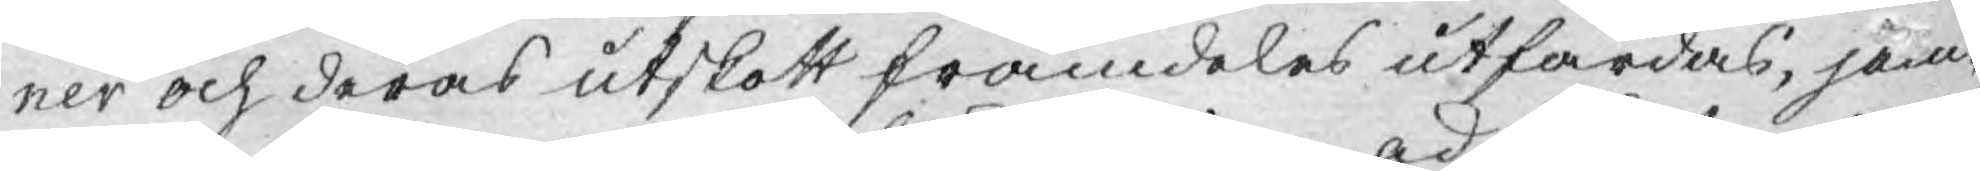ner och deras utskott framdeles utfärdas, jäm¬
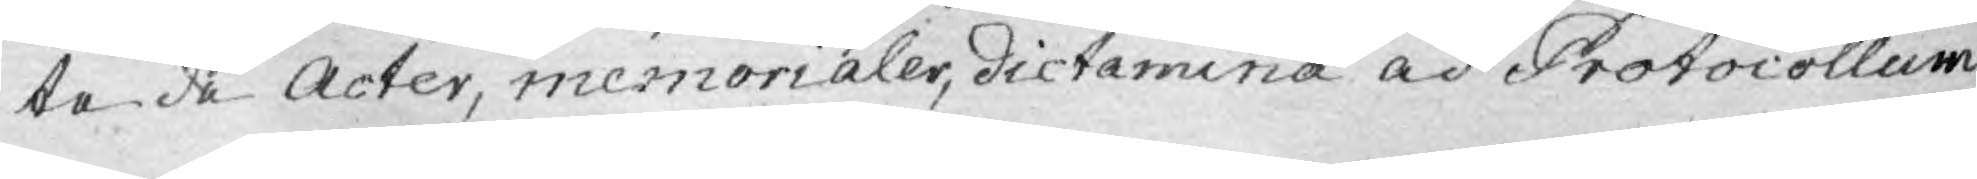te de Acter, memorialer, dictamina ad Protocollum
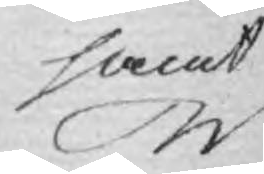samt
